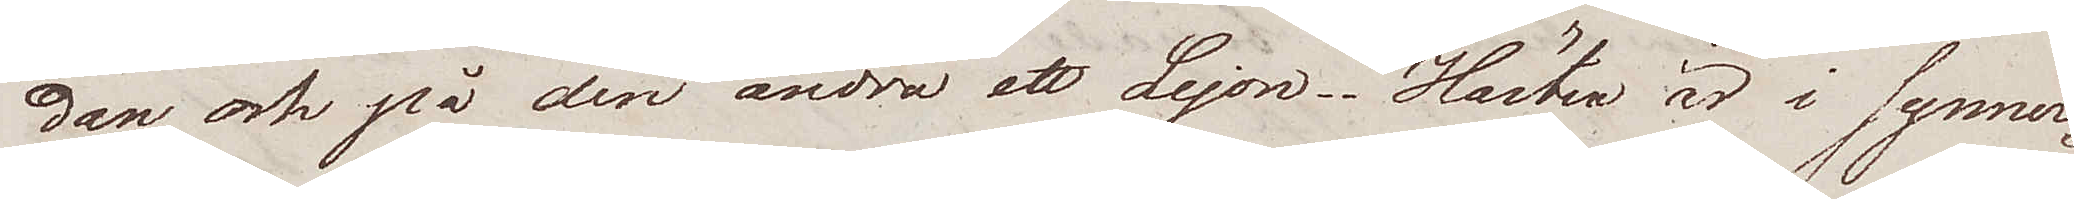dan och på den andra ett Lejon. Hästen är i synner¬
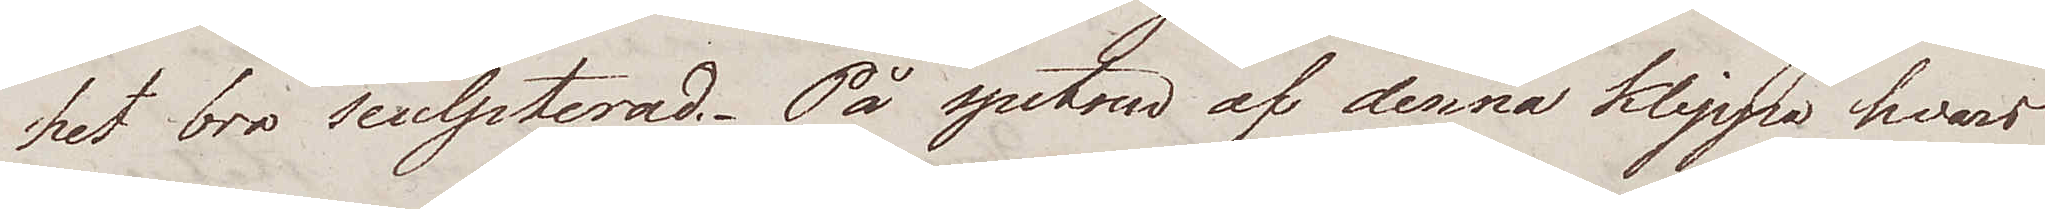het bra sculpterad. På spetsen af denna klippa hvars
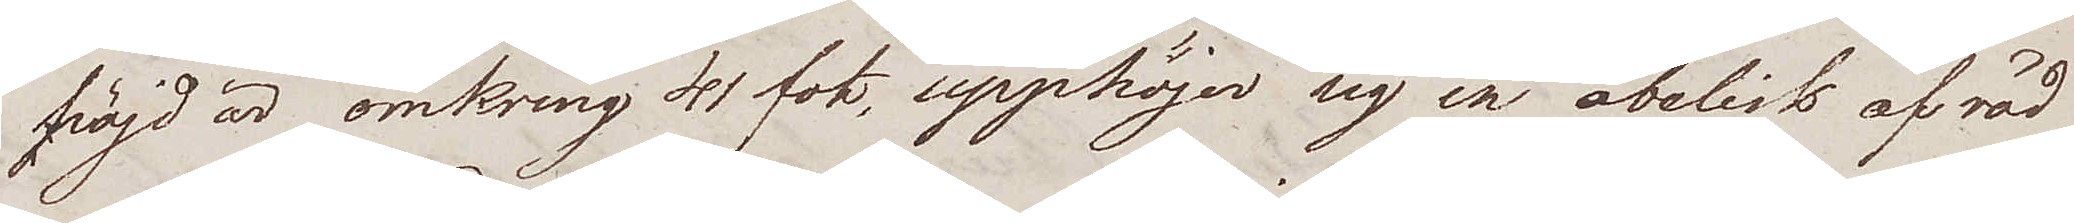höjd är omkring 41 fot, upphöjer sig en obelisk af röd
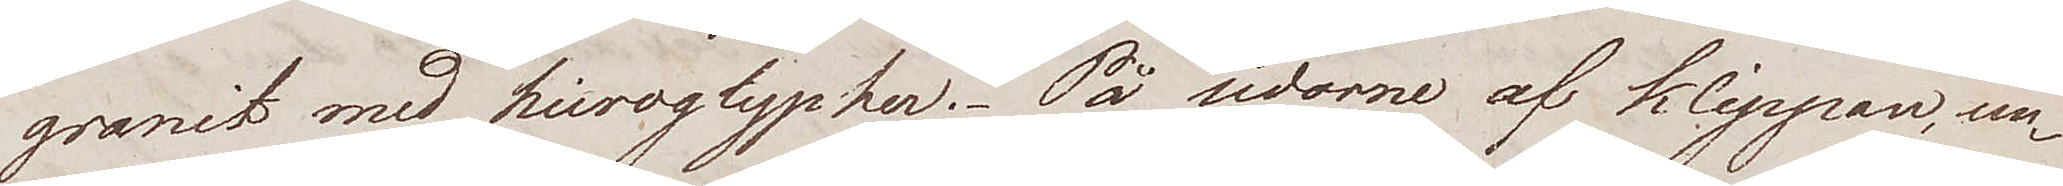granit med hieroglypher. På sidorne af klippan, un¬
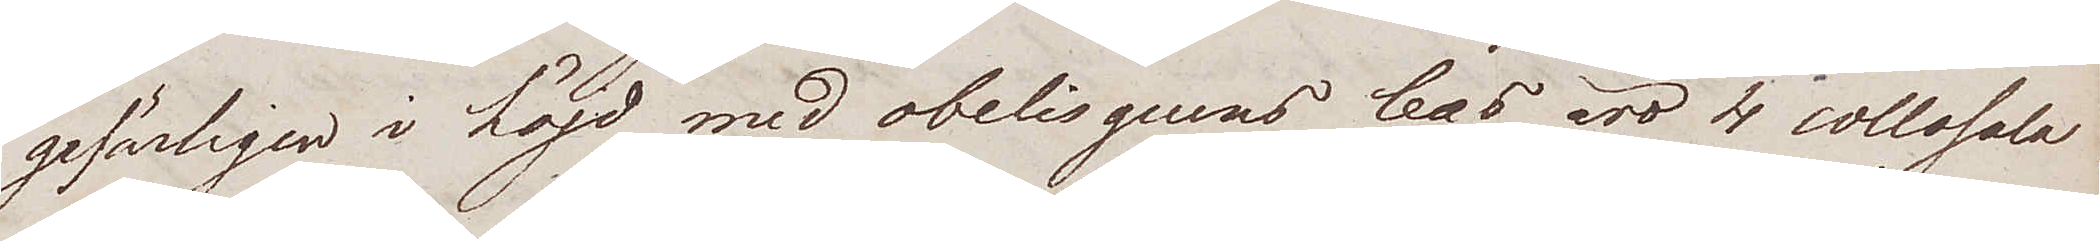gefärligen i höjd med obelisquens bas äro 4 collosala
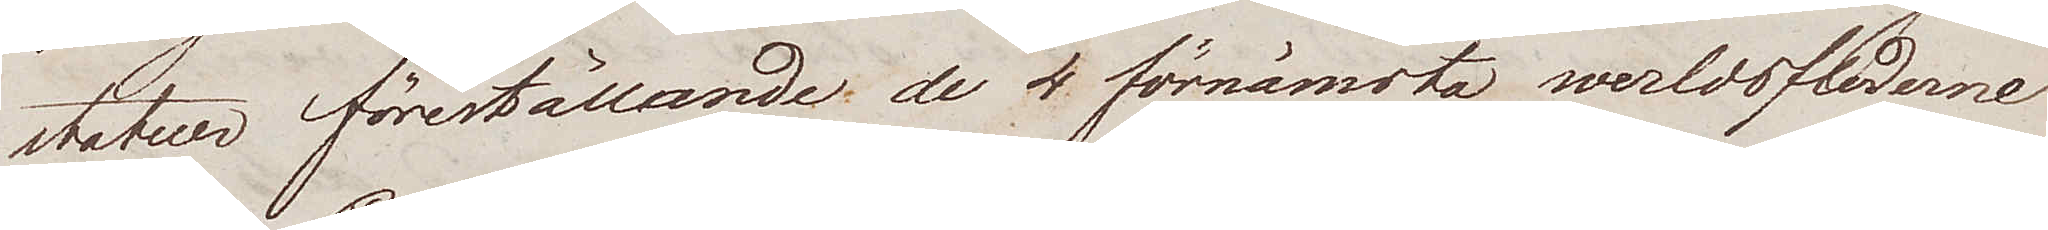statuer föreställande; de 4 förnämsta werldsfloderna
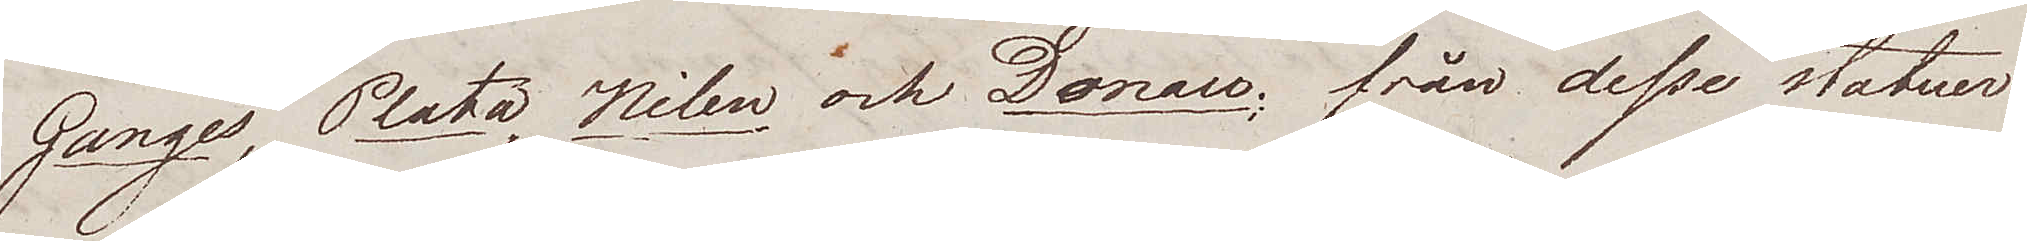Ganges, Plata, Nilen och Donau; från desse statuer
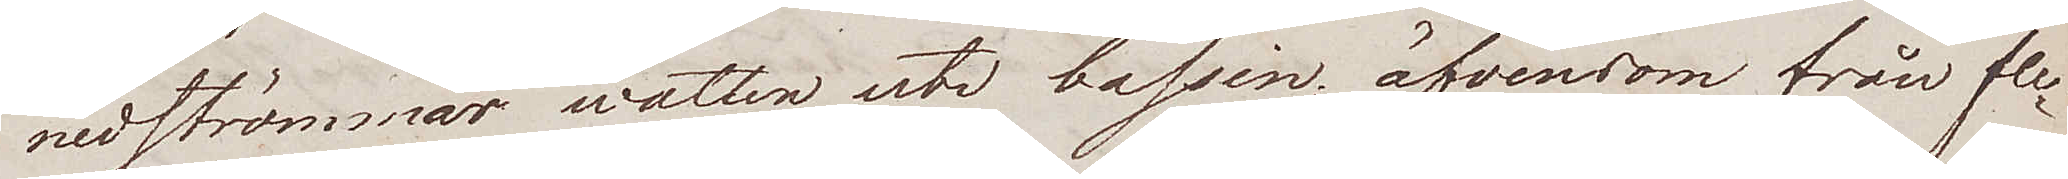nedströmmar watten uti bassin; äfvensom från fle¬
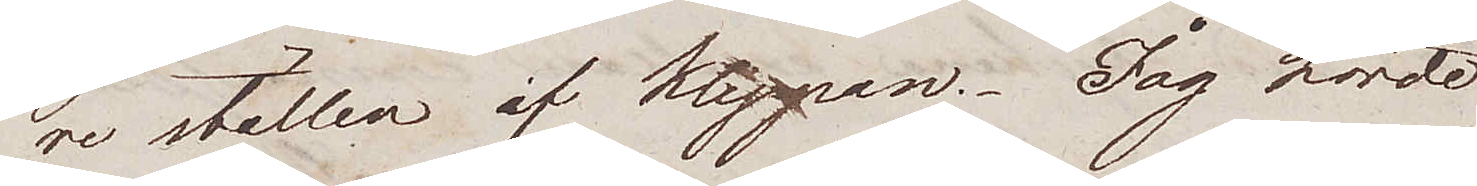re ställen af klippan. Jag hörde
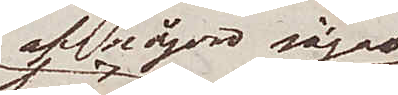af någon säga
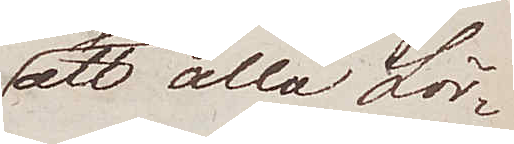att alla Lör¬
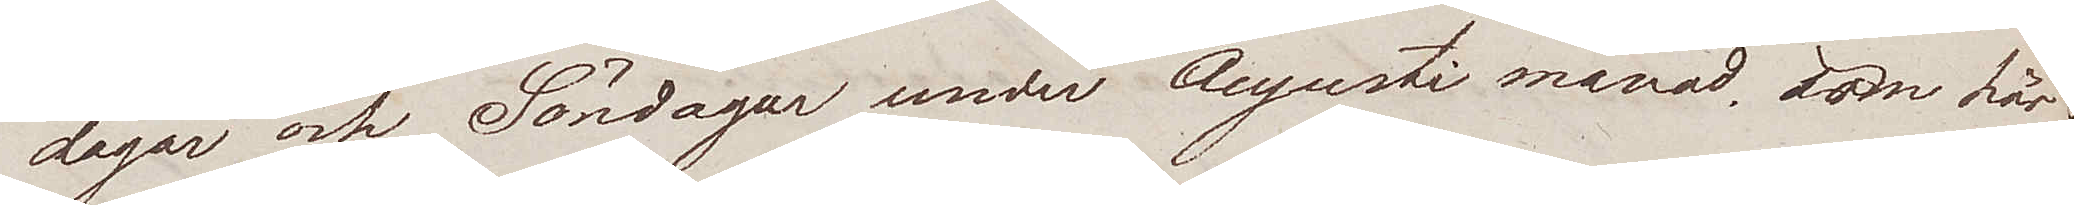dagar och Söndagar, under Augusti månad, som här
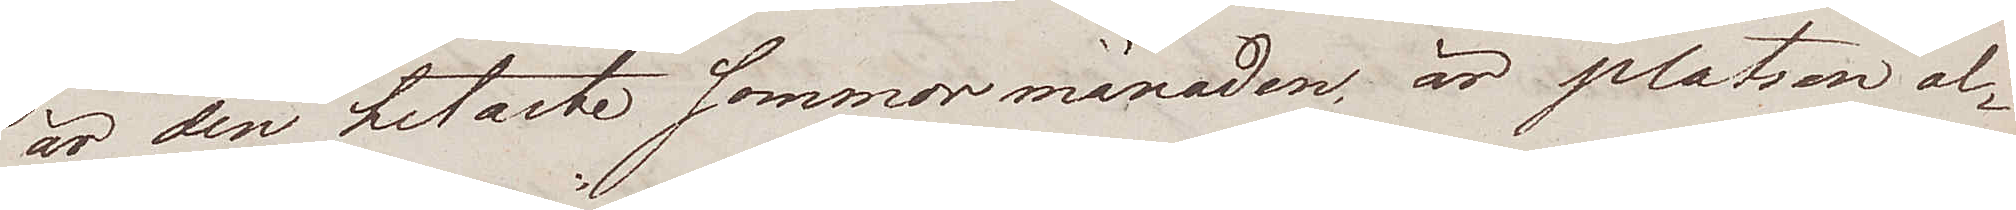är den hetaste sommar månaden, är platsen al¬
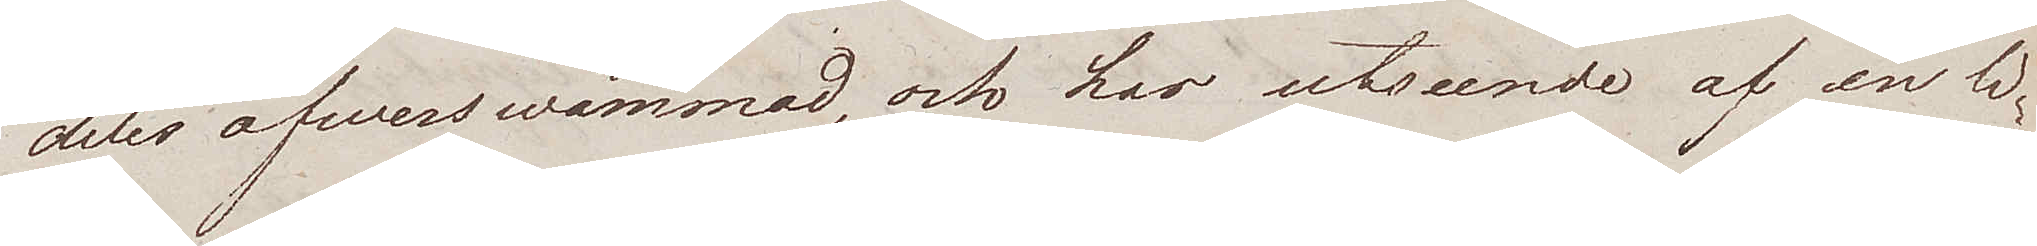deles öfwerswämmad, och har utseende af en li¬
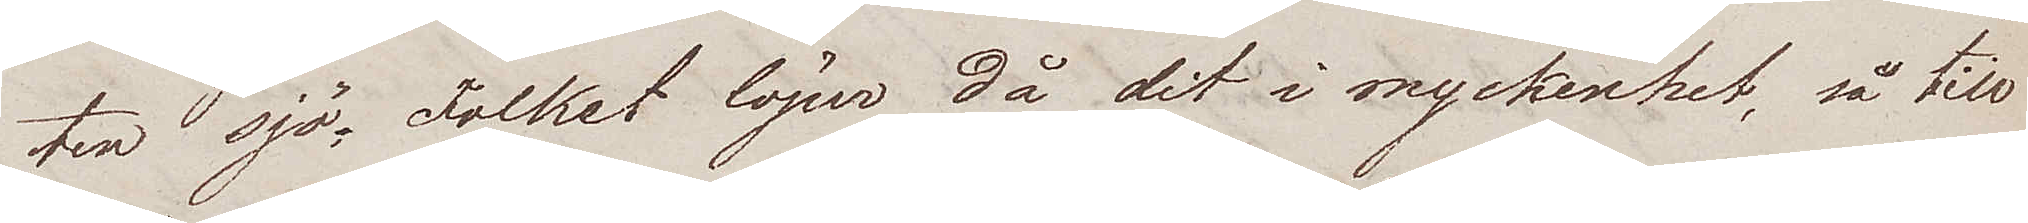ten sjö. Folket löper då dit i myckenhet, så till
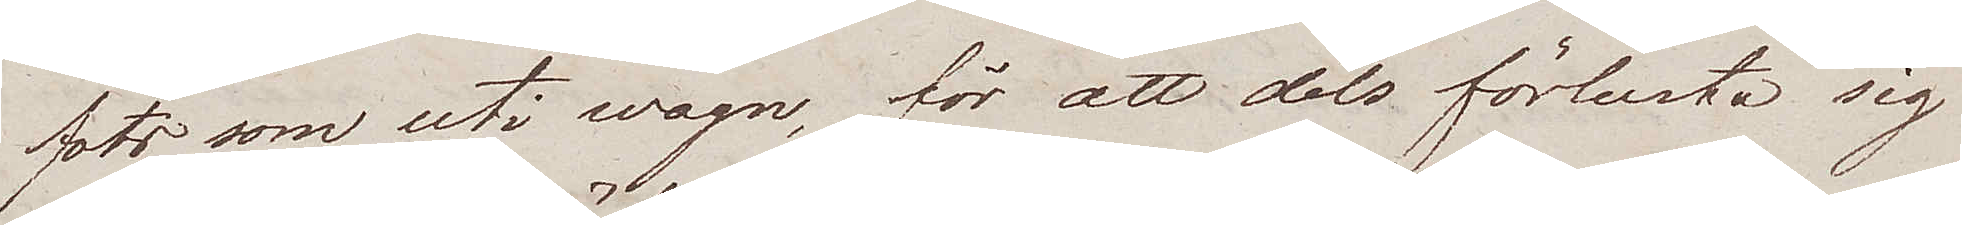fots som uti wagn, för att dels förlusta sig
